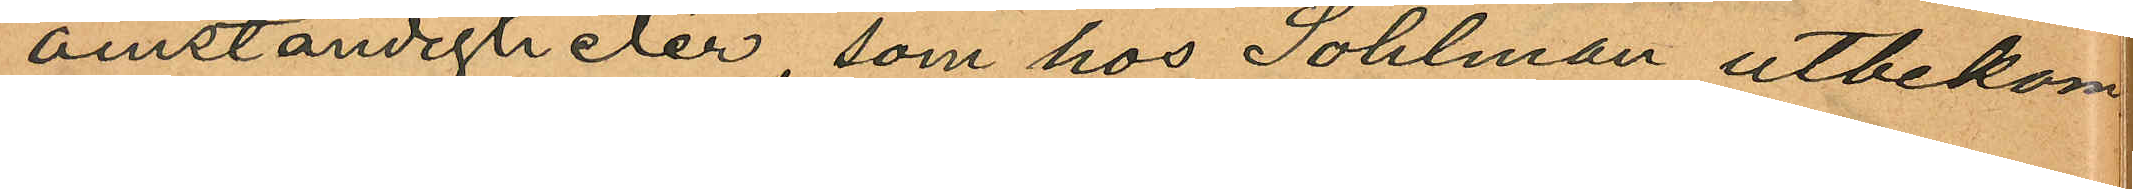omständigheter, som hos Sohlman utbekom¬
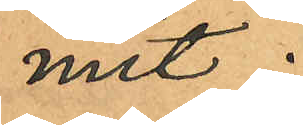mit.
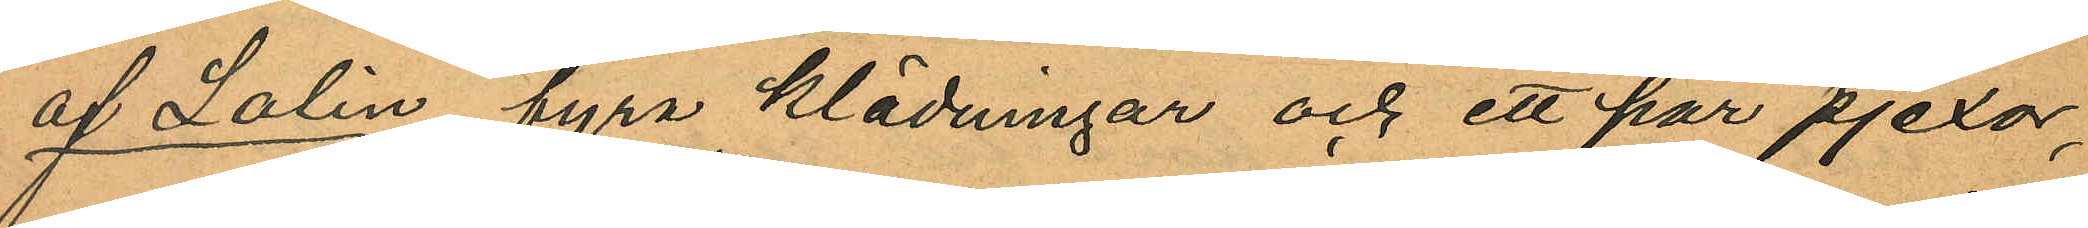af Lalin fyra klädningar och ett par pjexor,
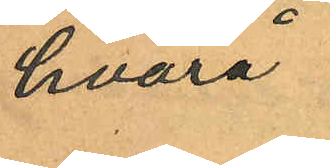hvarå
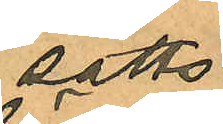satts
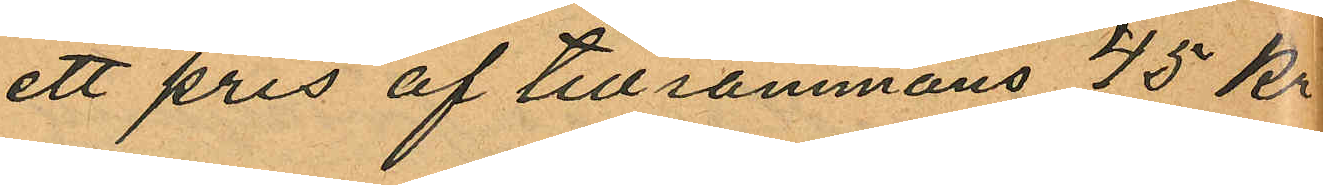ett pris af tillsammans 45 kr
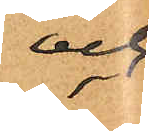och
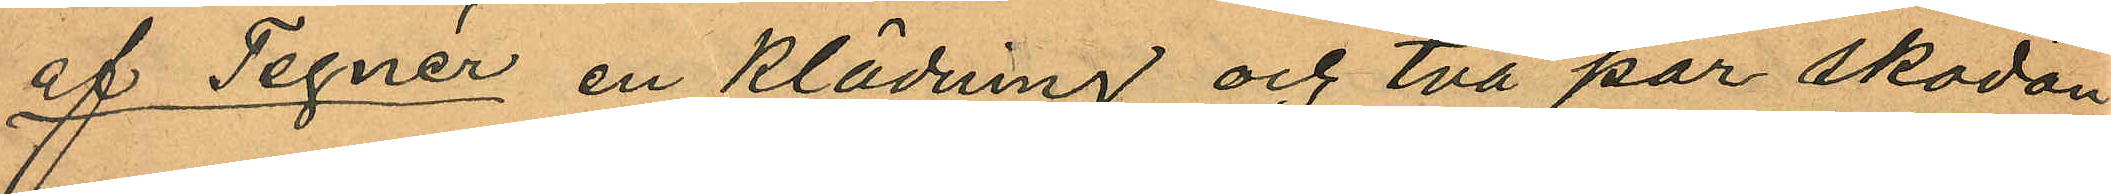af Tegnér en klädning och två par skodon
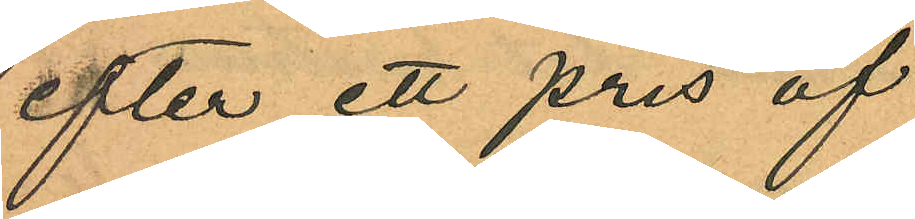efter ett pris af
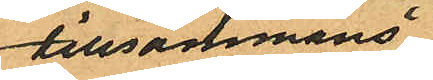tillsammans
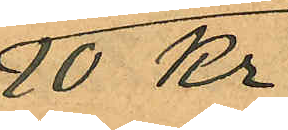10 Kr;
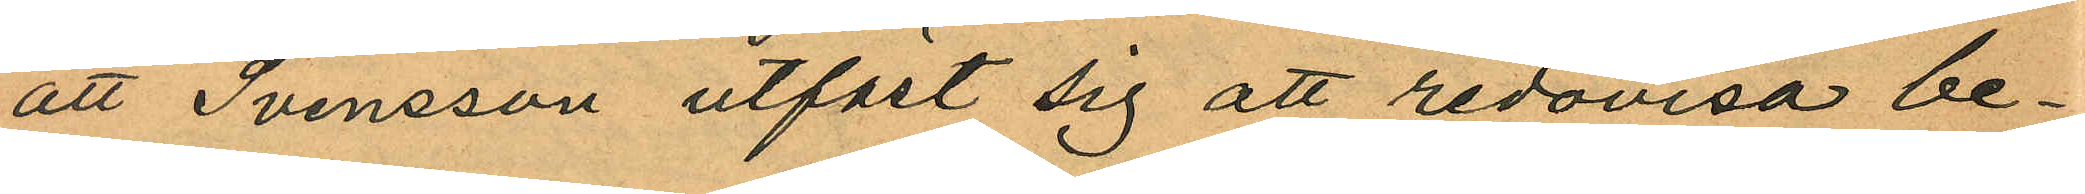att Svensson utfäst sig att redovisa be¬
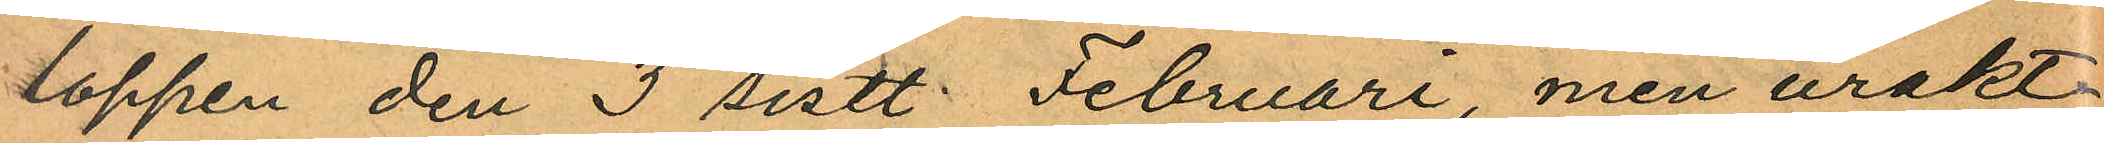loppen den 3 sistl. Februari, men urakt¬
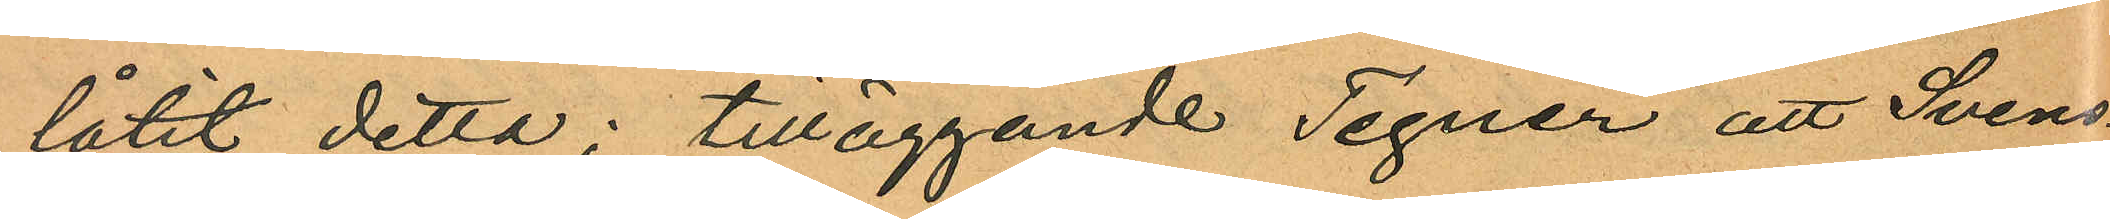låtit detta; tilläggande Tegnér att Svens¬
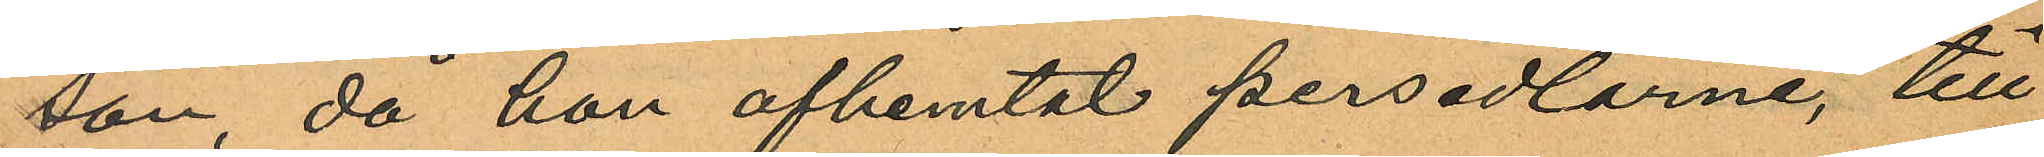son, då hon afhemtat persedlarne, till
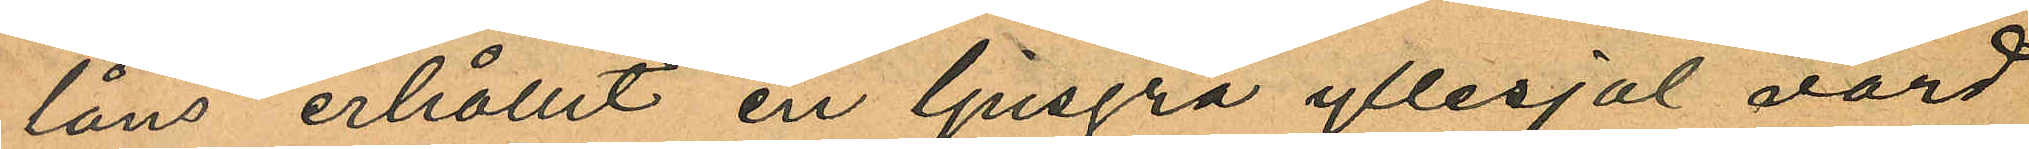låns erhållit en ljusgrå yllesjal värd
